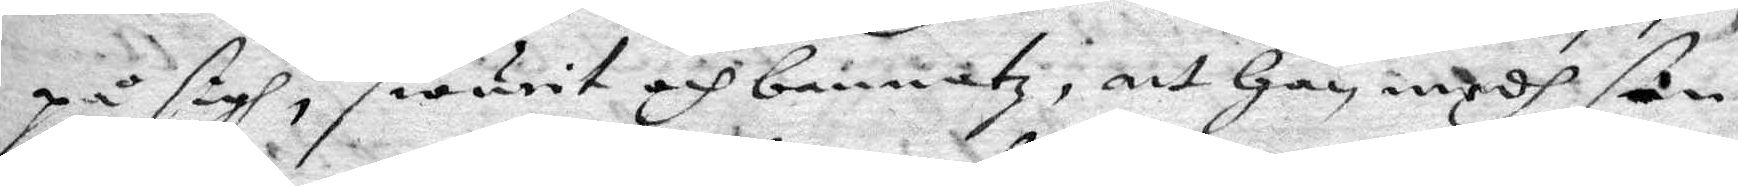på sigh, swurit och nannatz, att han medh sin
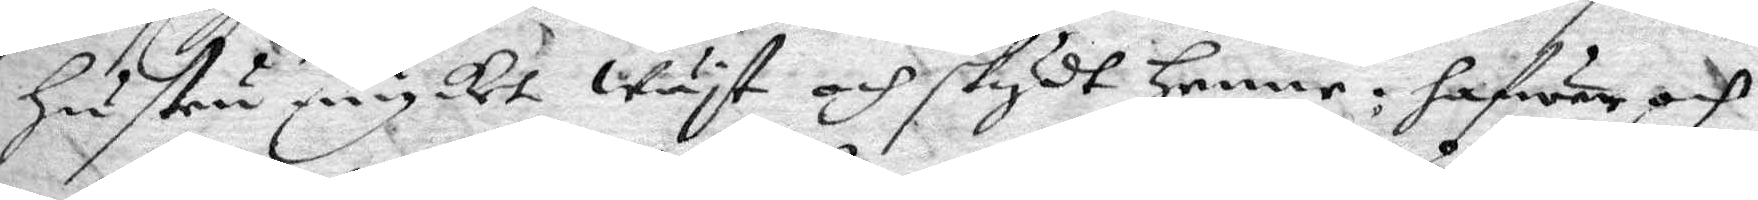hustru mycket wäjt och skydt henne: hafwer och
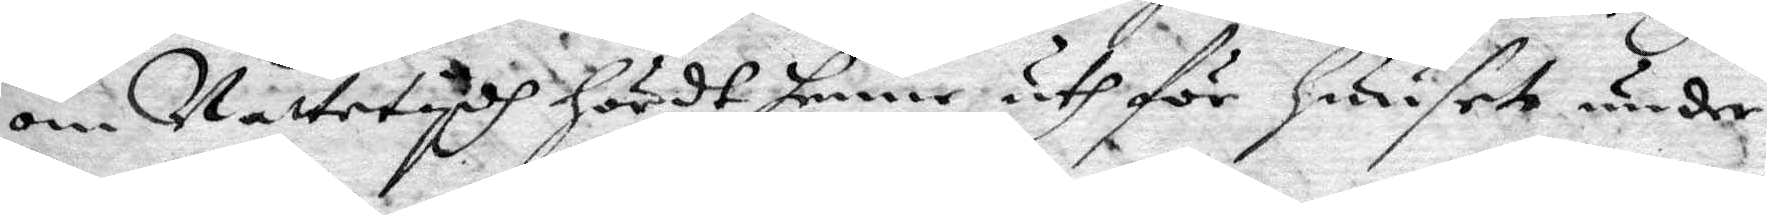om Nattetydh hördt henne uthför huuset under
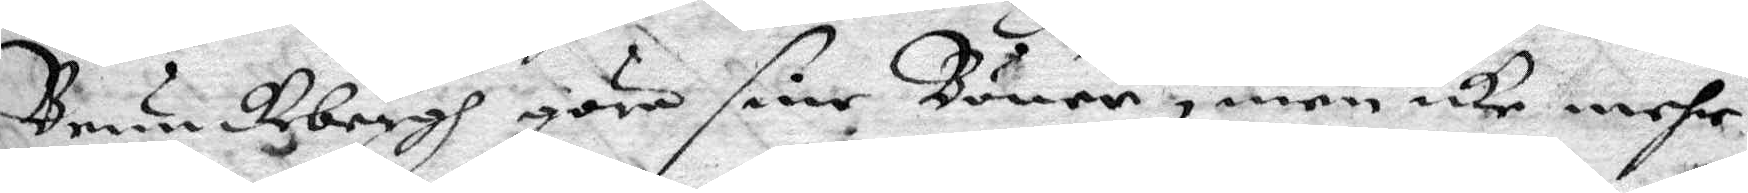Brunkebergh göra sine Böner, men icke mehr
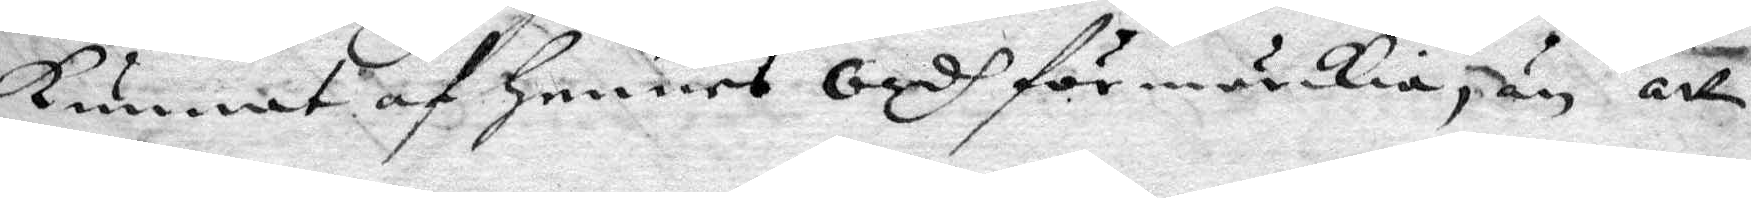kunnat af hennes Ordh förmärckia, än att
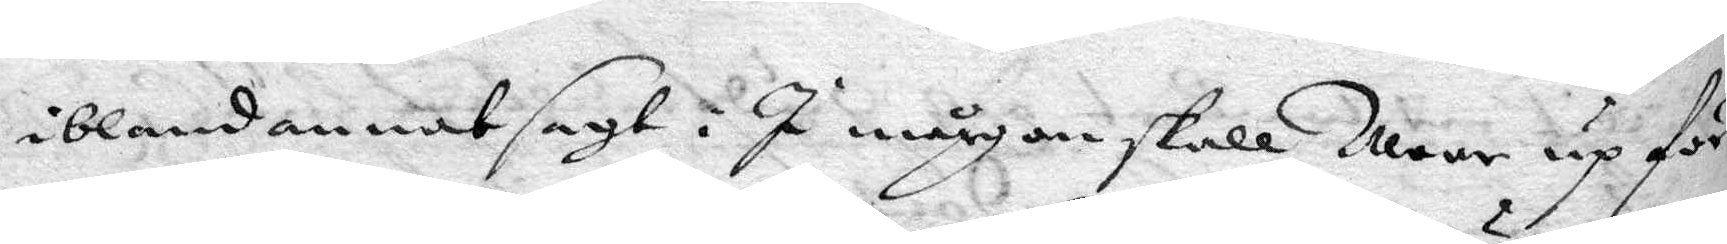ibland annat sagt. I mårgon skall War upp för
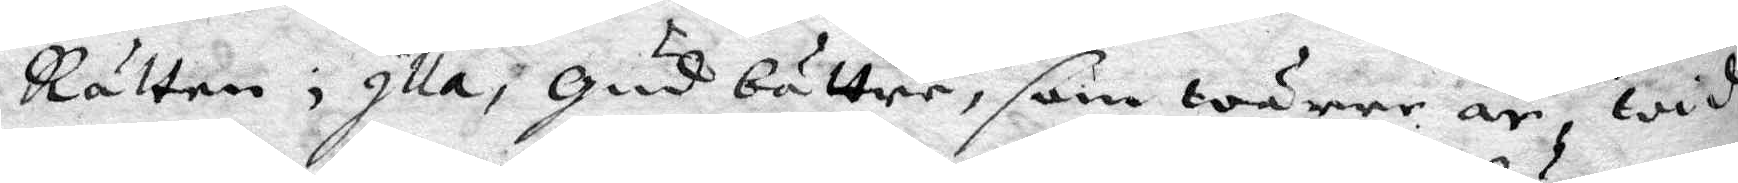Rätten, Illa, Gud bättre, som wärre är, wid
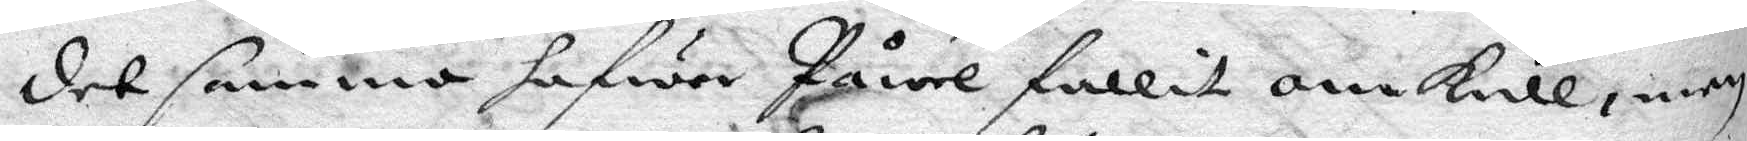det samma hafwer Påwel fallit omkall, men
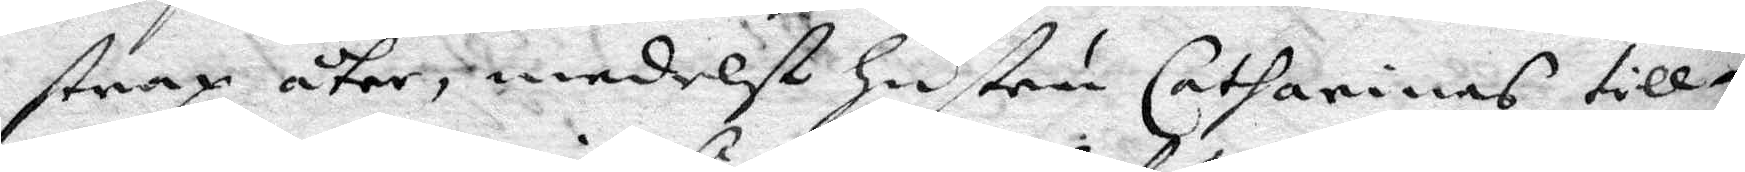strax åter medelst hustru Catharinas till
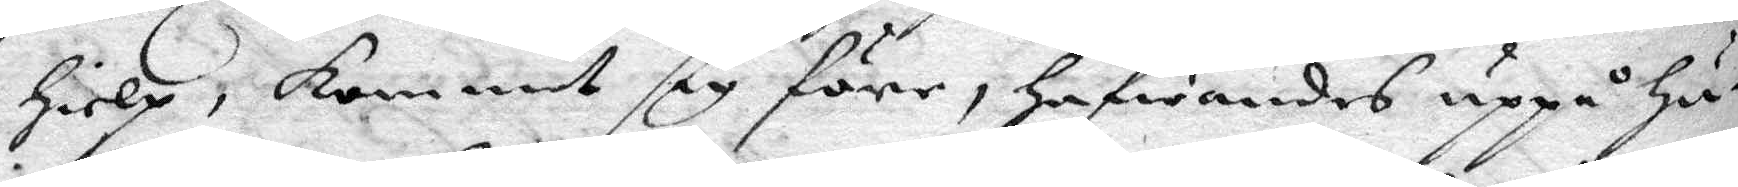Hielp, kommit sig före, Hafwandes uppå Hör¬
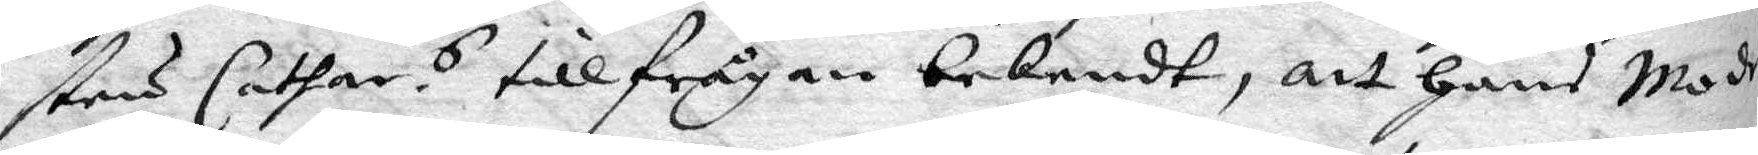stru Cathar.s tillfrågan bekendt, att hans Moder
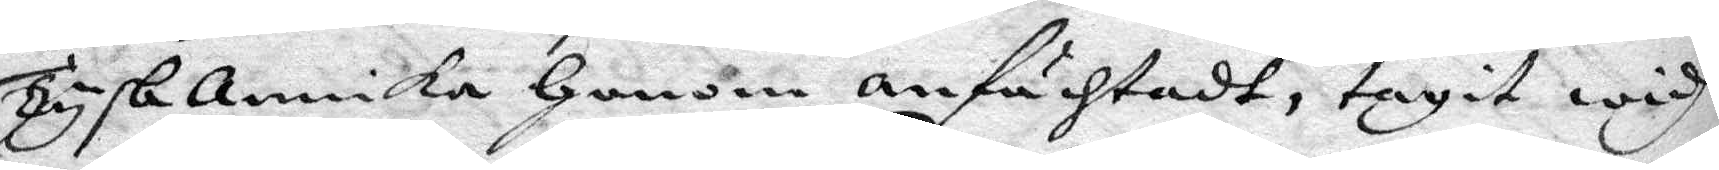Tysk annika Honom anfächtadt, tagit widh
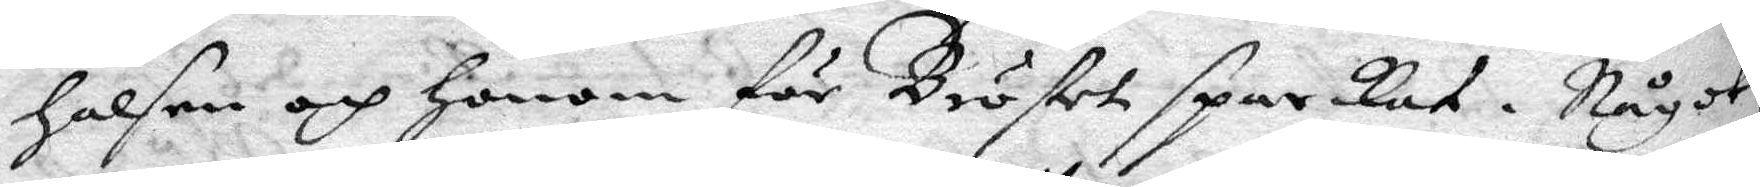Halsen och Honom för Bröstet sparkat. Något
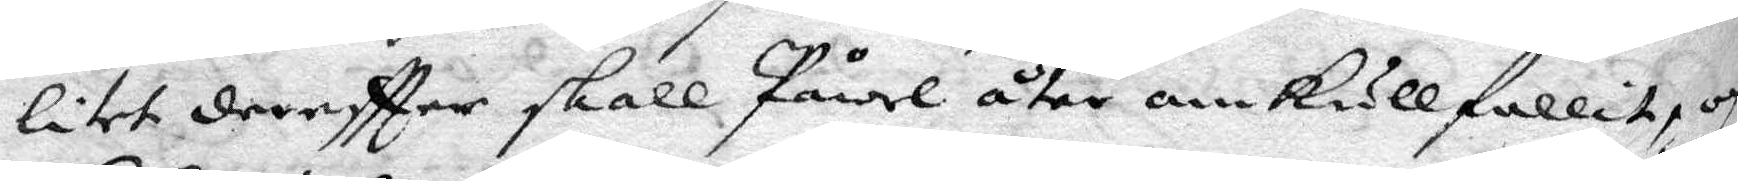litet dereftter skall Påwel åter omkullfallit, och
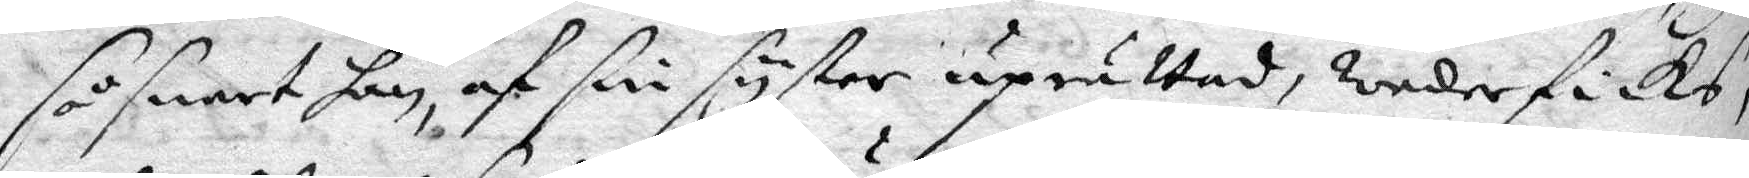så snart hon, af sin syster uprätta, weder fick,
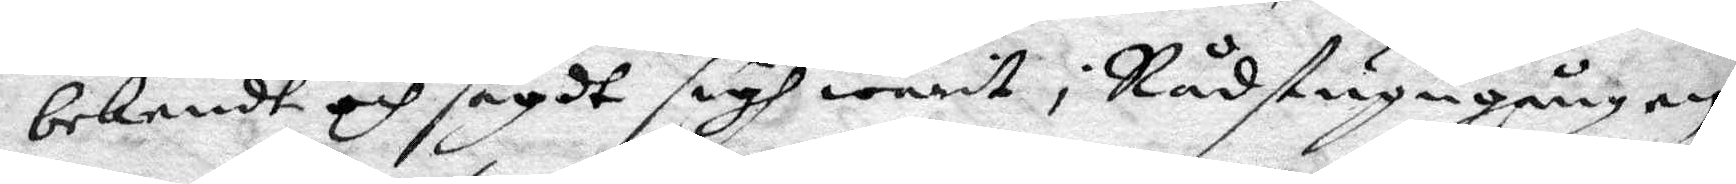bekendt och sagdt sigh warit i Rådstugugången
